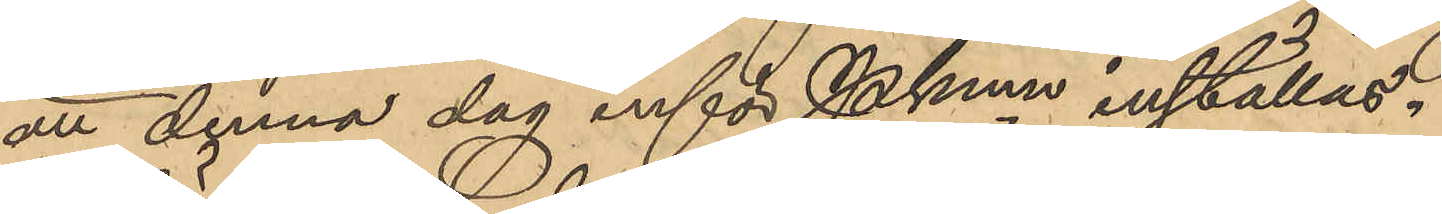att denna dag inför Pkmn inställas.
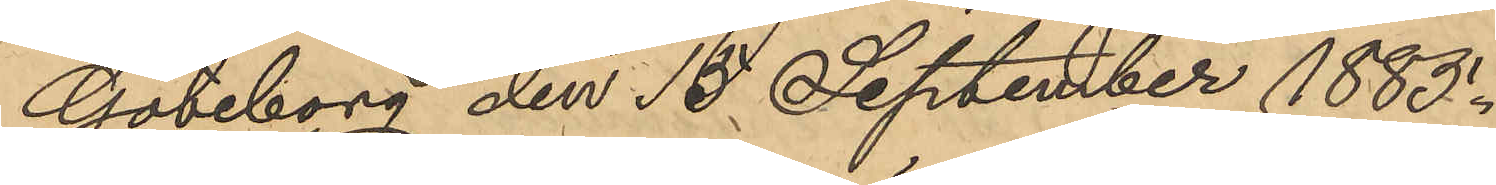Göteborg den 15 September 1885.
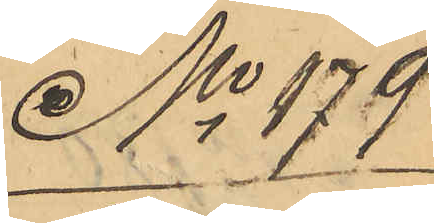No 179
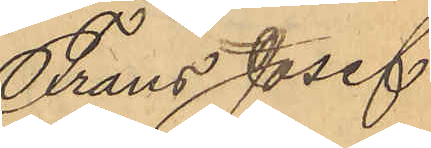Frans Josef
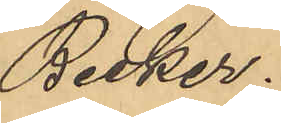Becker.
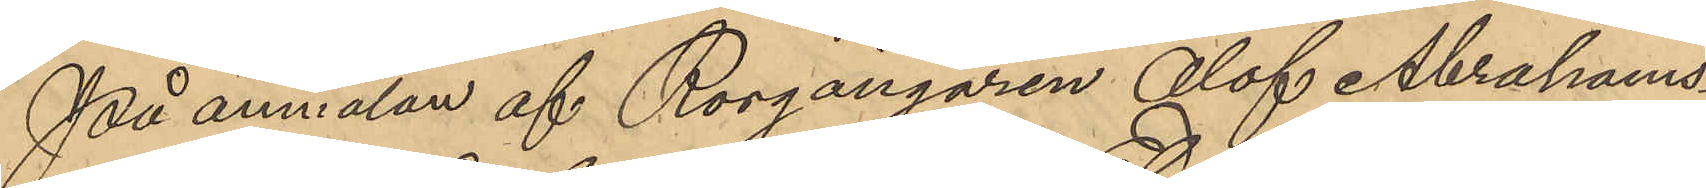På anmälan af Rorgängaren Olof Abrahams¬
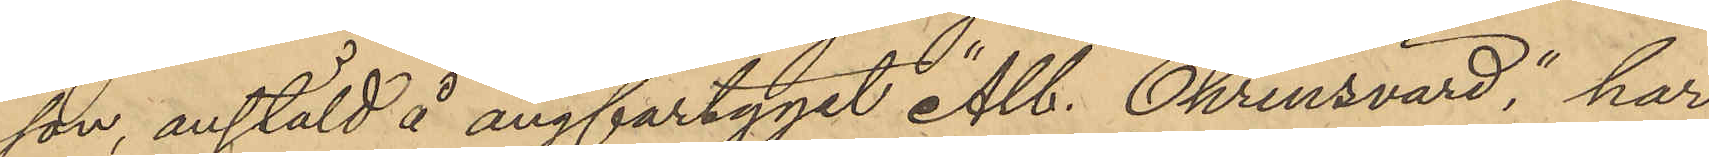son, anstäld å ångfartyget "Alb. Ehrensvärd", har
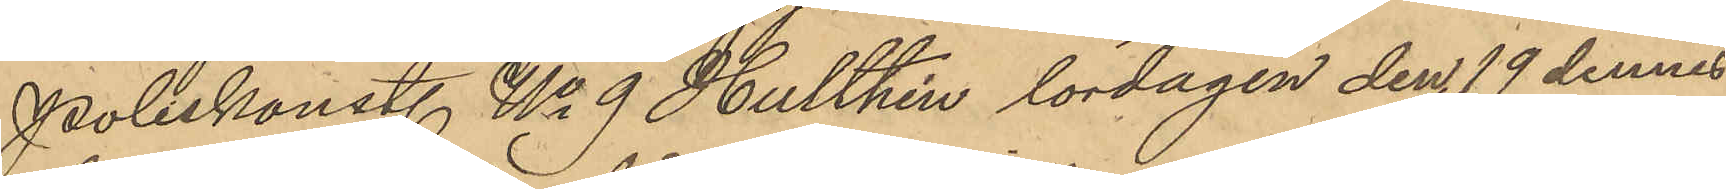Poliskonst. No 9 Hulthén lördagen den 19 dennes
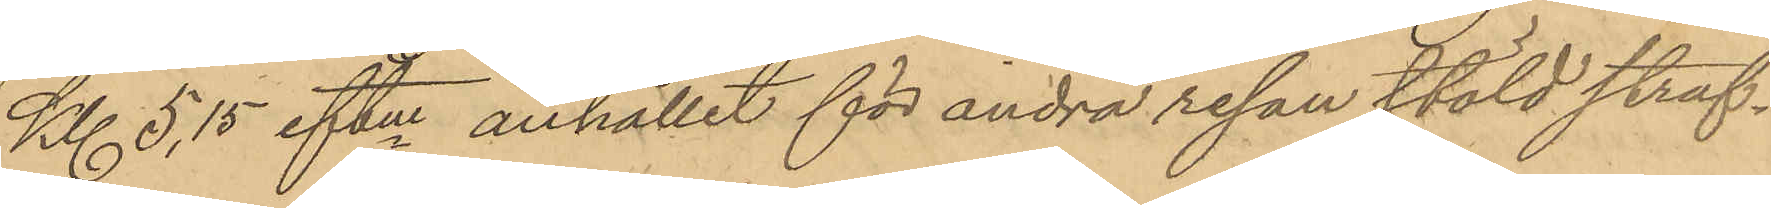Kl 5,15 eftm anhållit för andra resan stöld straf¬
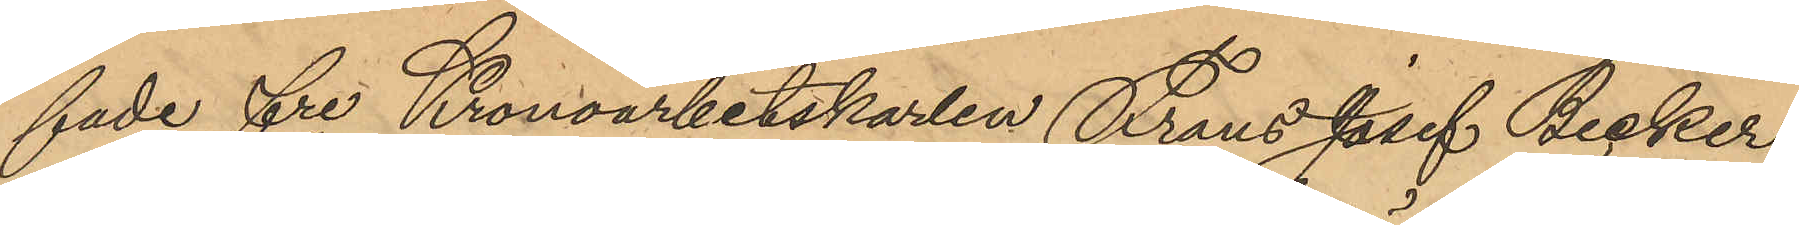fade fre Kronoarbetskarlen Frans Josef Becker
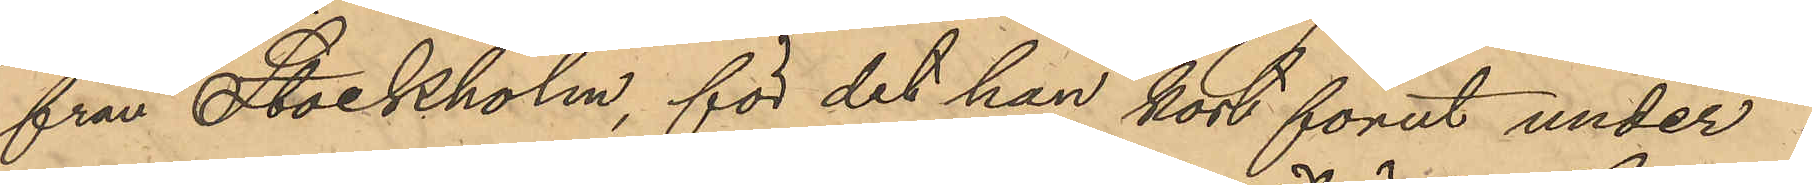från Stockholm, för det han kort förut under
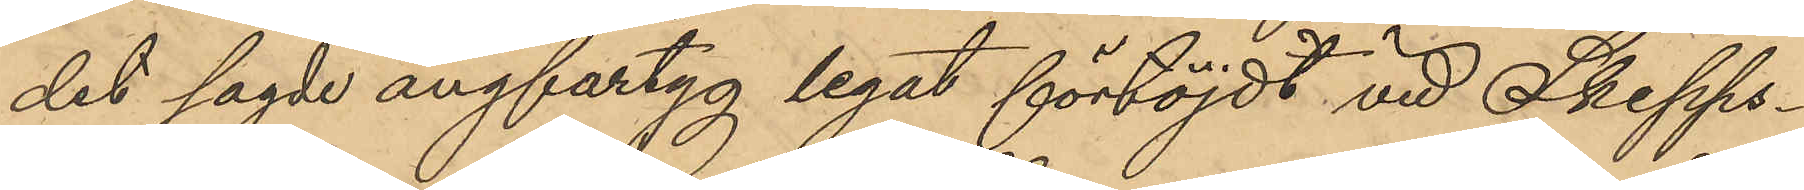det sagde ångfartyg legat förtöjdt vid Skepps¬
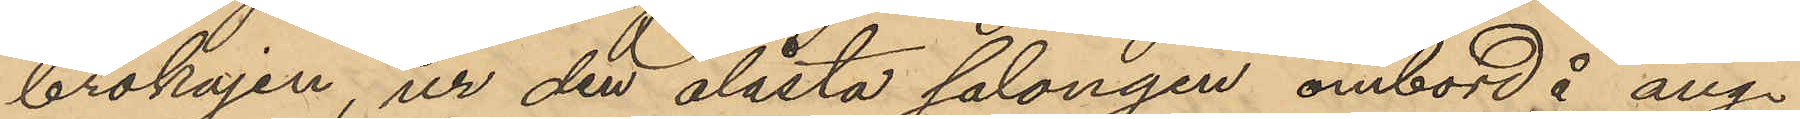brokajen, ur den olåsta salongen ombord å ång¬
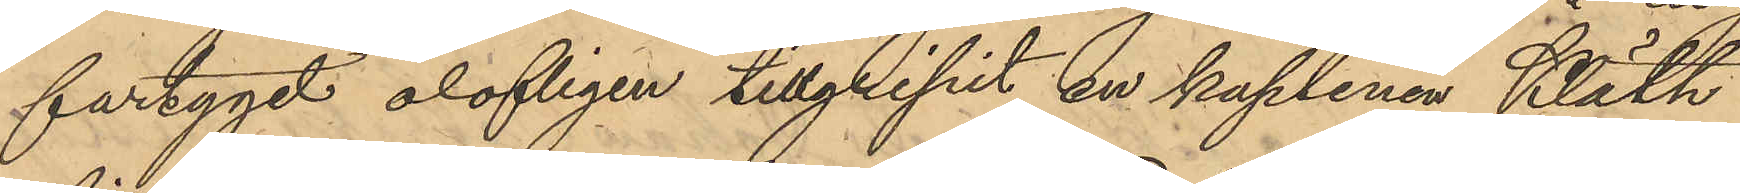fartyget olofligen tillgripit en kaptenen Kläth
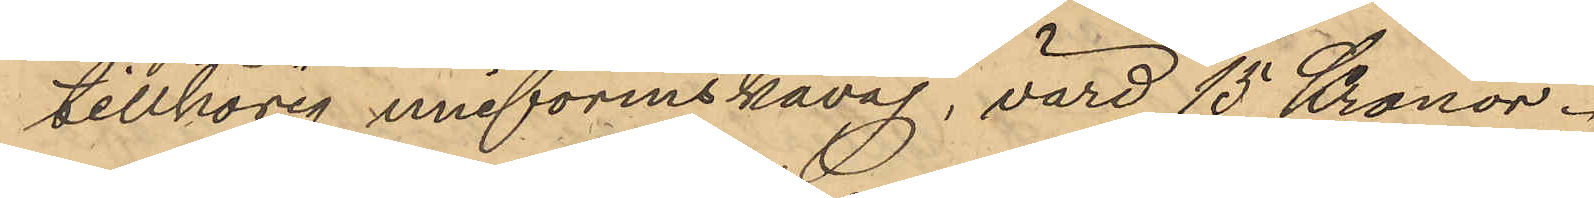tillhörig uniformskavaj, värd 15 Kronor.
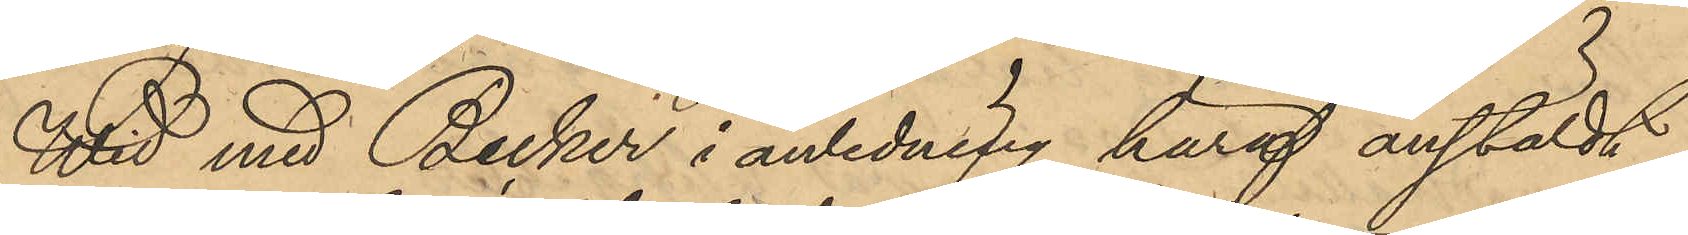Wid med Becker i anledning häraf anstäldt
